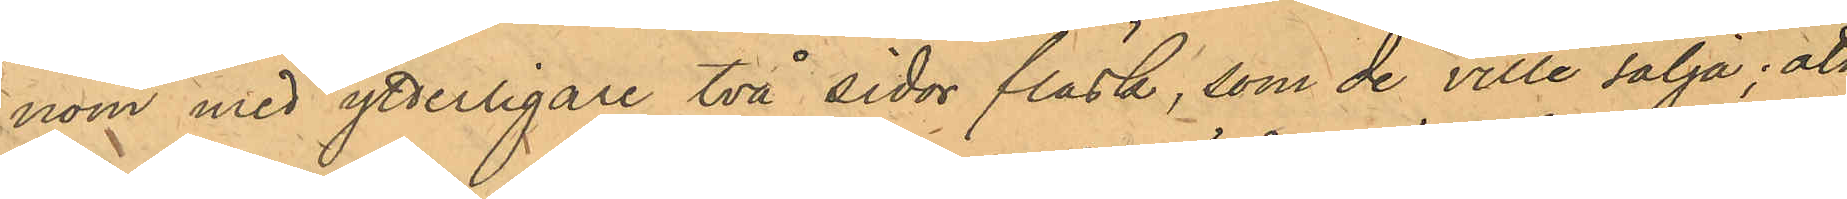nom med ytterligare två sidor fläsk, som de ville sälja; att
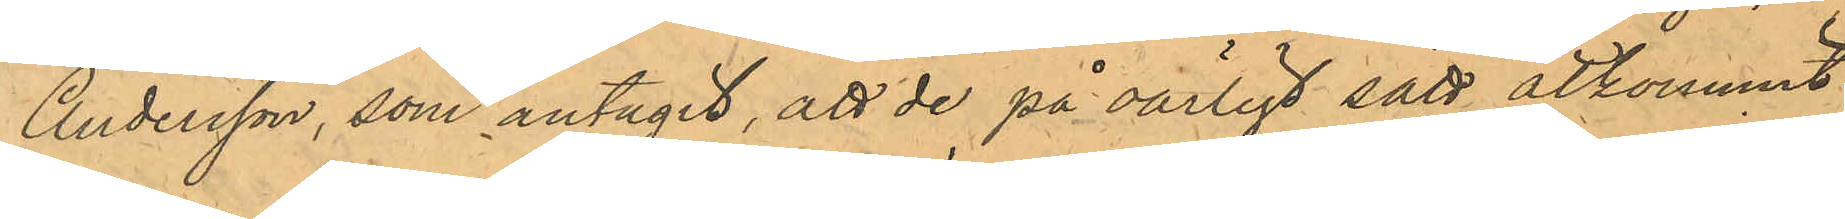Andersson, som antagit, att de på oärligt sätt åtkommit
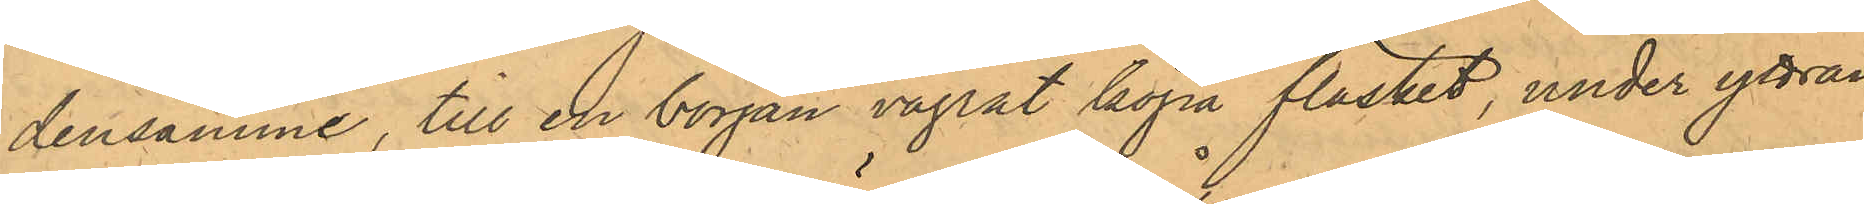densmme, till en början vägrat köpa fläsket, under yttran¬
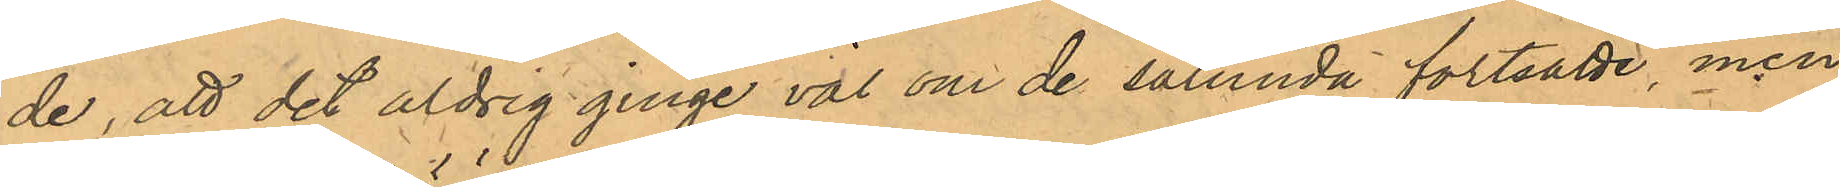de, att det aldrig ginge väl om de sålunda fortsatte, men
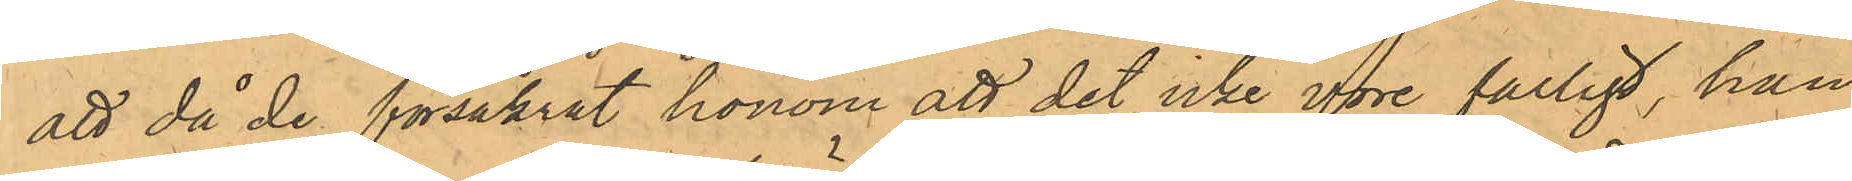att då de försäkrat honom att det icke vore farligt, han
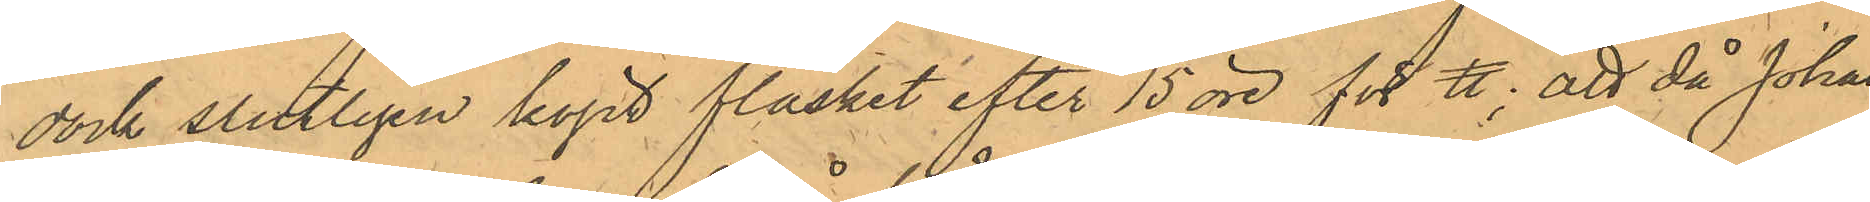dock slutligen köpt fläsket efter 15 öre för ℔; att då Johan
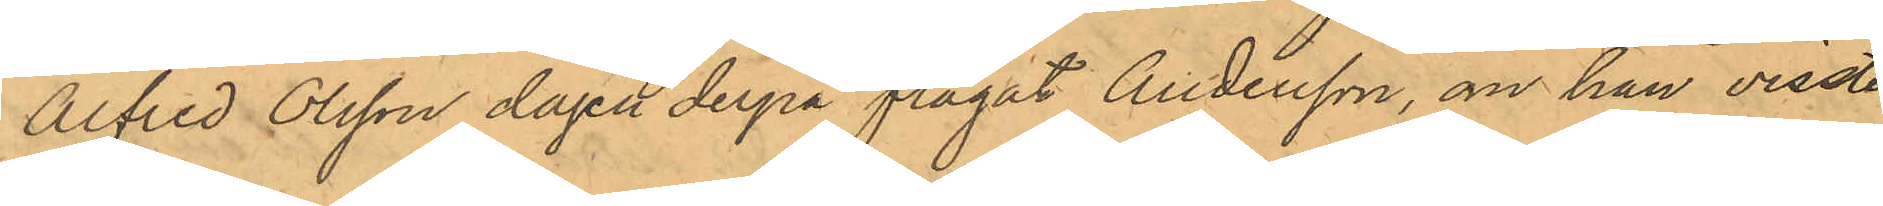Alfred Olsson dagen derpå frågat Andersson, om han visste
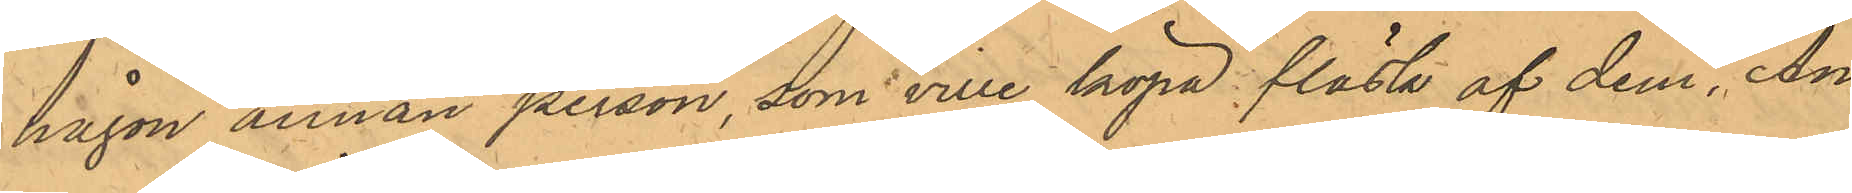någon annan person, som ville köpa fläsk af dem, An¬
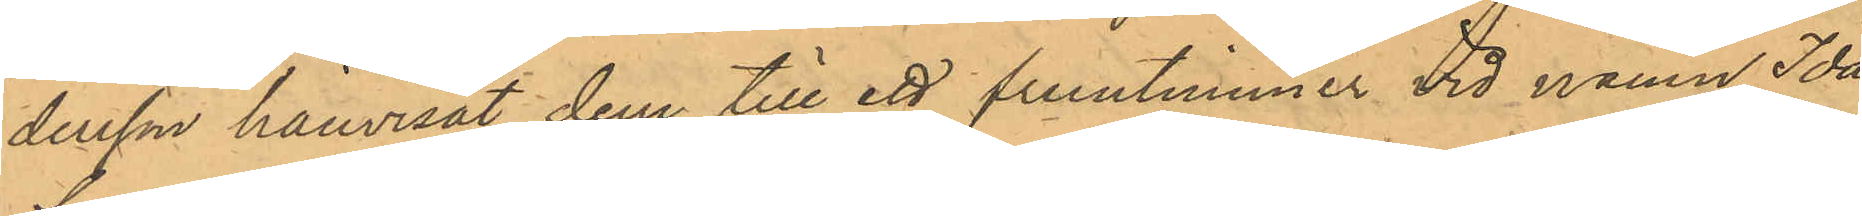dersson hänvisat dem till ett fruntimmer vid namn Ida
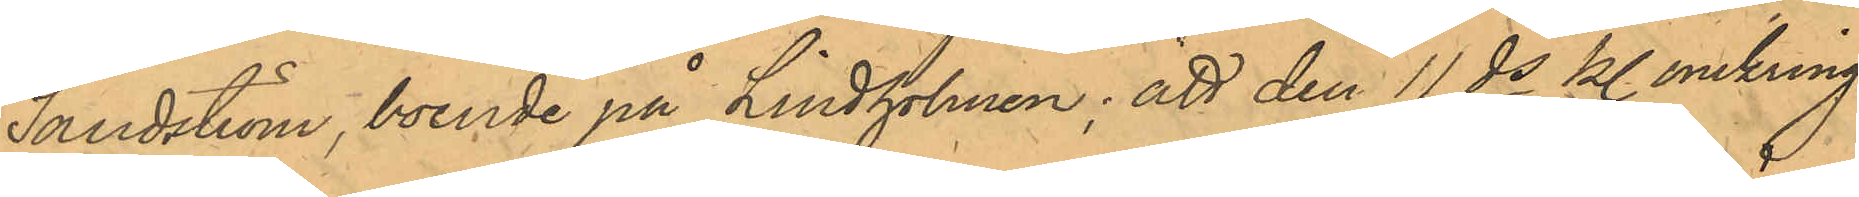Sandström, boende på Lindholmen; att den 11 ds kl. omkring
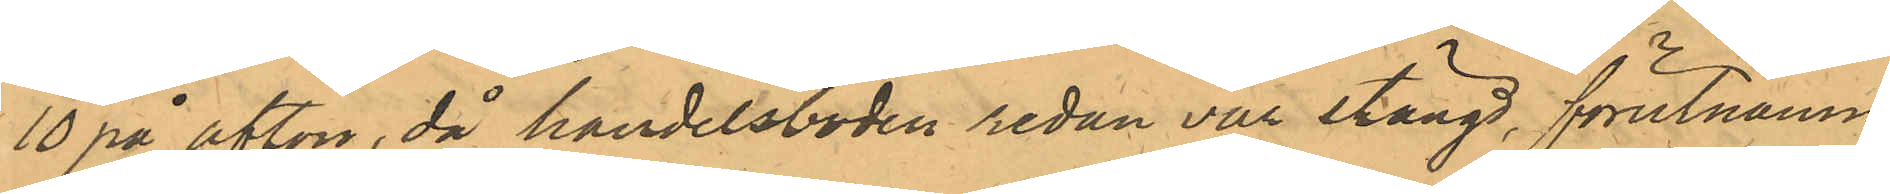10 på afton, då handelsboden redan var stängd, förutnämn¬
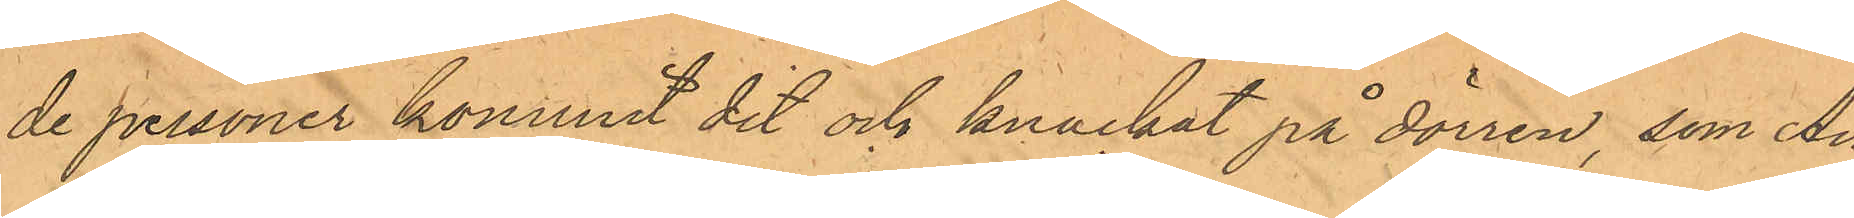de personer kommit dit och knackat på dörren, som An¬
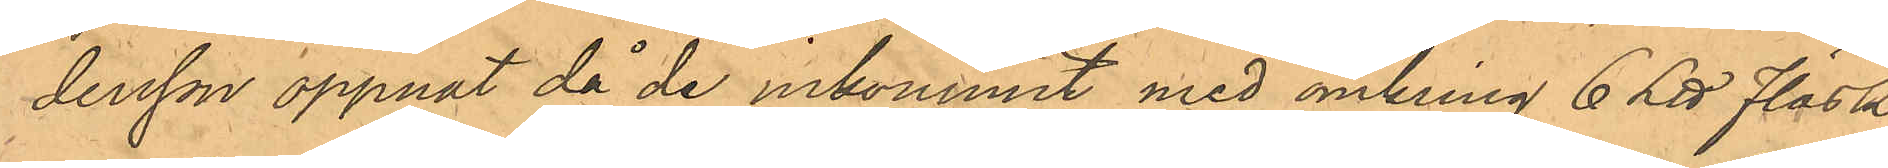dersson öppnat då de inkommit med omkring 6 L℔ Fläsk
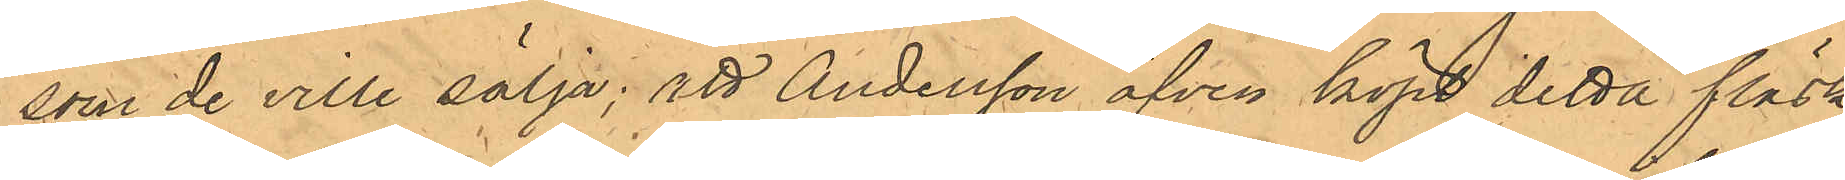som de ville sälja: att Andersson äfven köpt detta fläsk
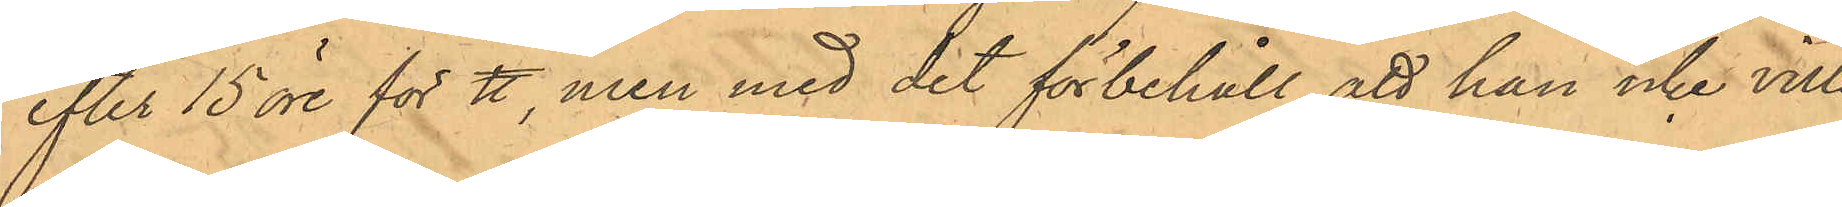efter 15 öre för ℔, men med det förbehåll, att han icke ville
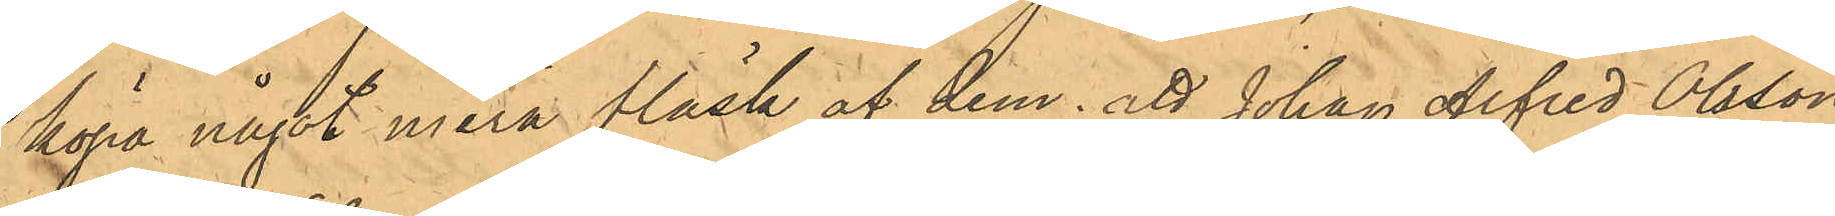köpa något mera fläsk af dem; att Johan Alfred Olsson,
